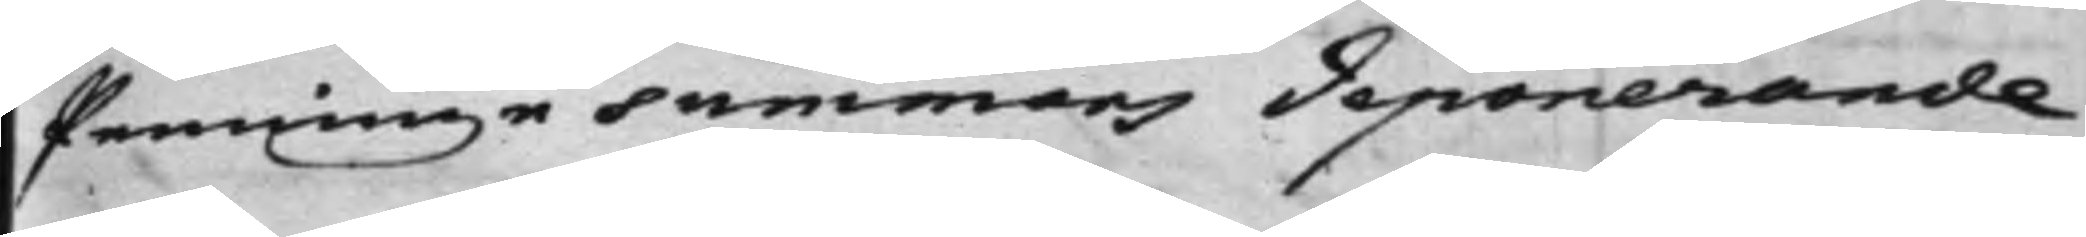Penninge summors deponerande
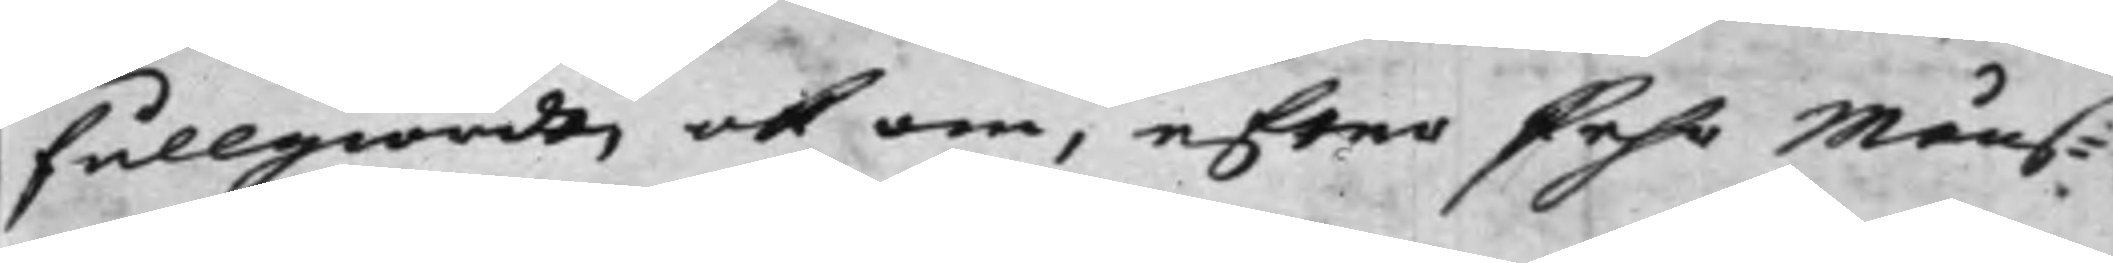fullgiordt, och om, efter Pehr Måns¬
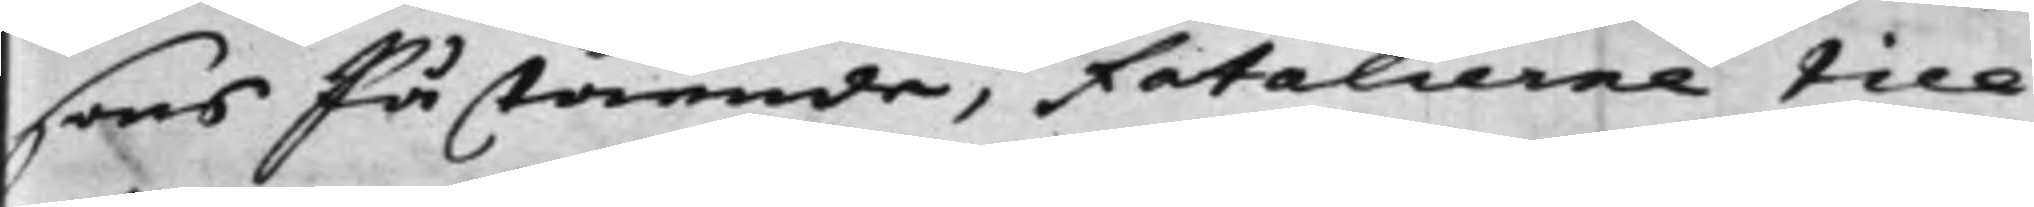sons Påstående, Fatalierne till
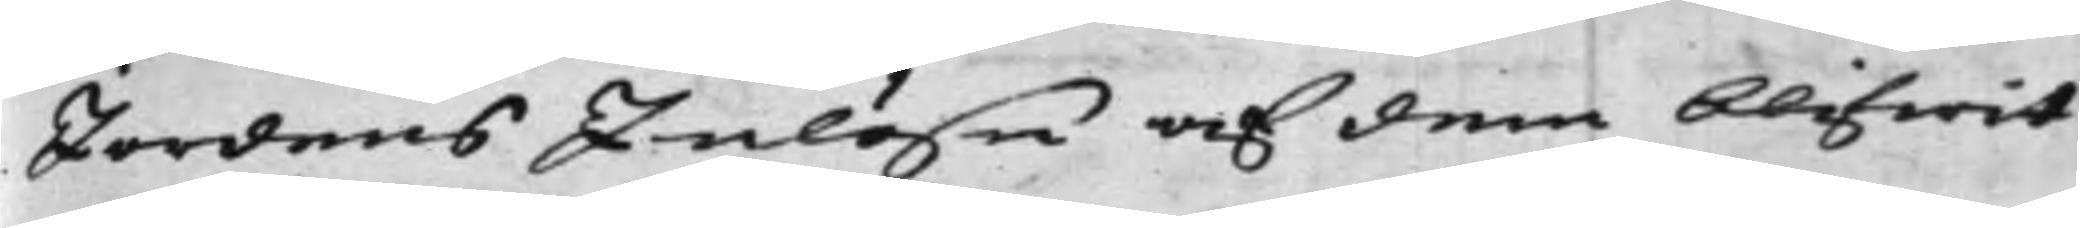Jordens Inlösn af dem blifwit
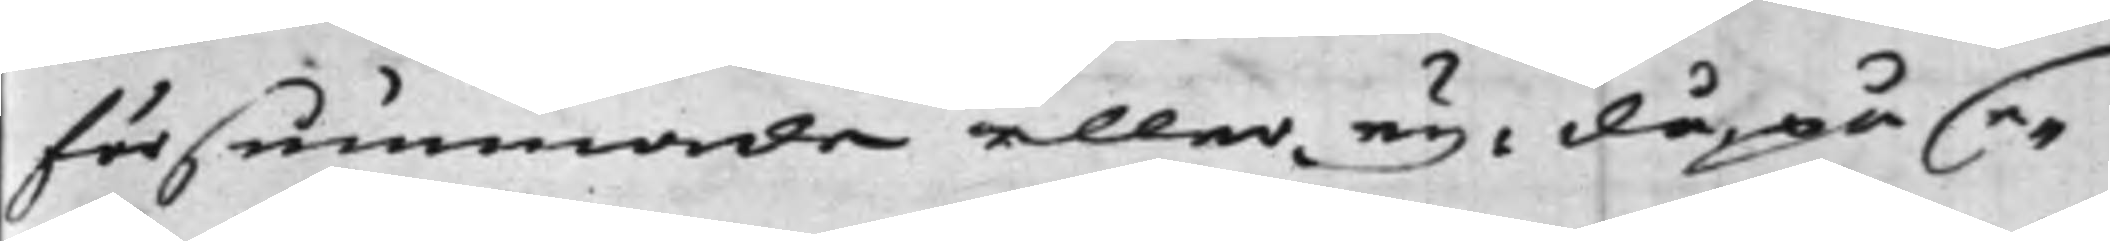försummade eller ey: då på se¬
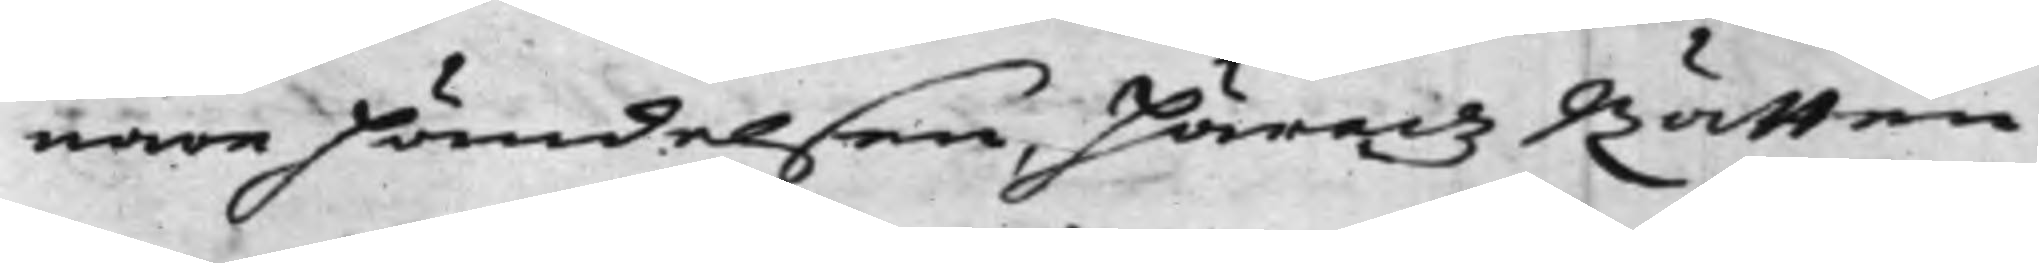nare Händelsen, Häradz Rätten
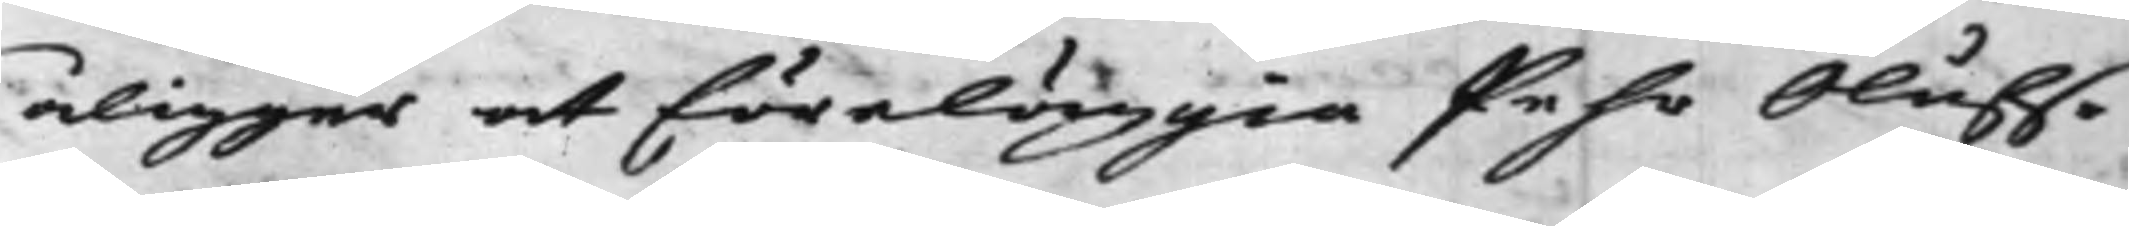åligger at föreläggia Pehr Olufs¬
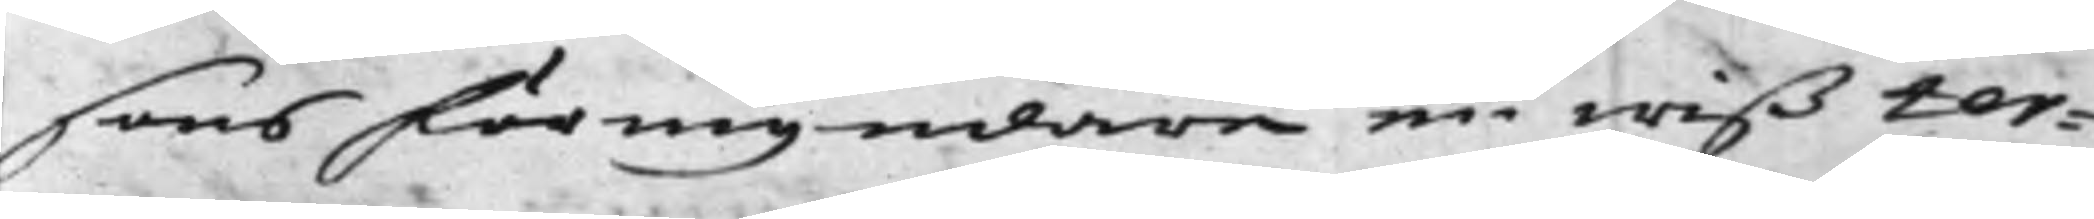sons förmyndare en wiß ter¬
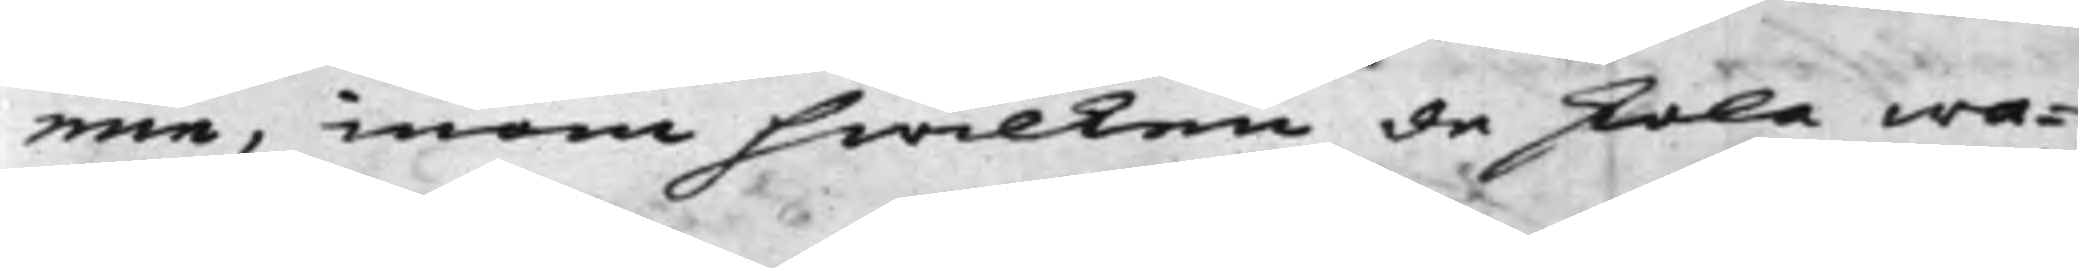min, inom hwilken de skola wa¬
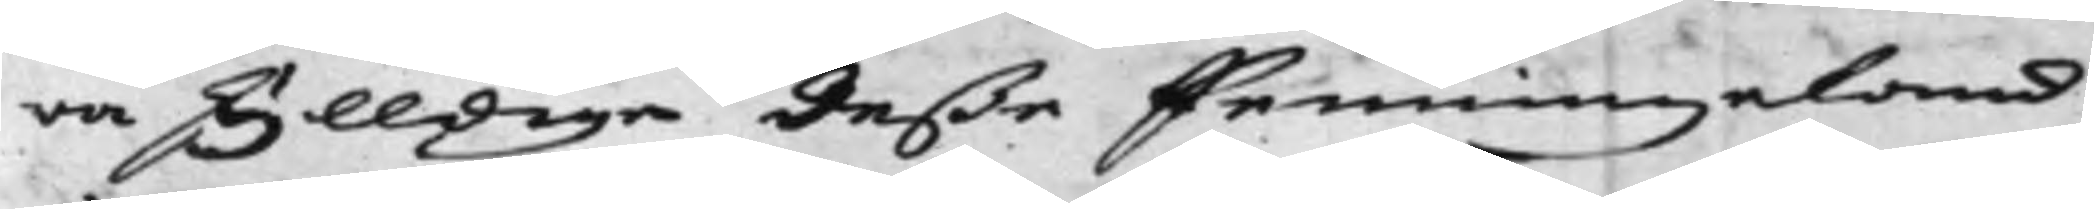ra skylldige deße Penningeland
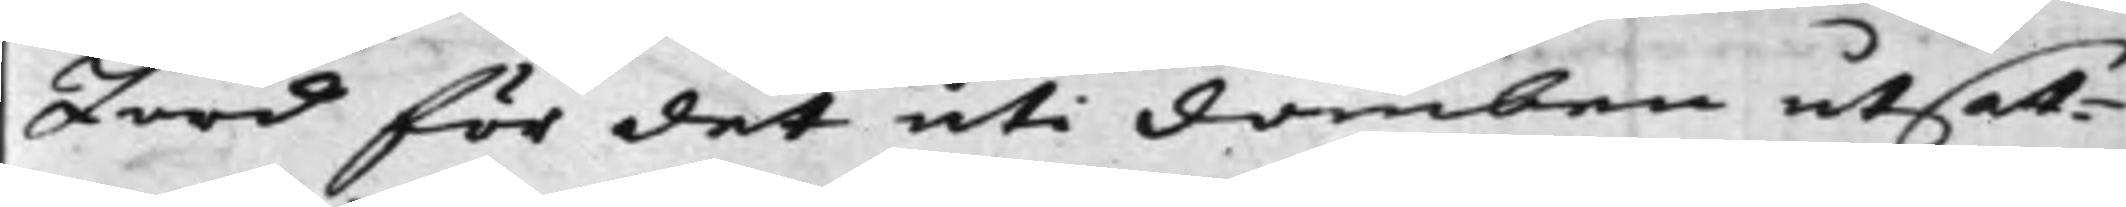Jord för det uti Domben, utsat¬
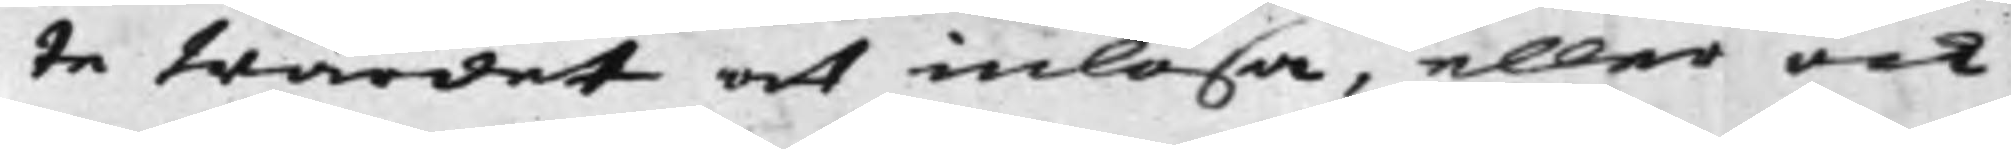te Wärdet at inlösa, eller ock
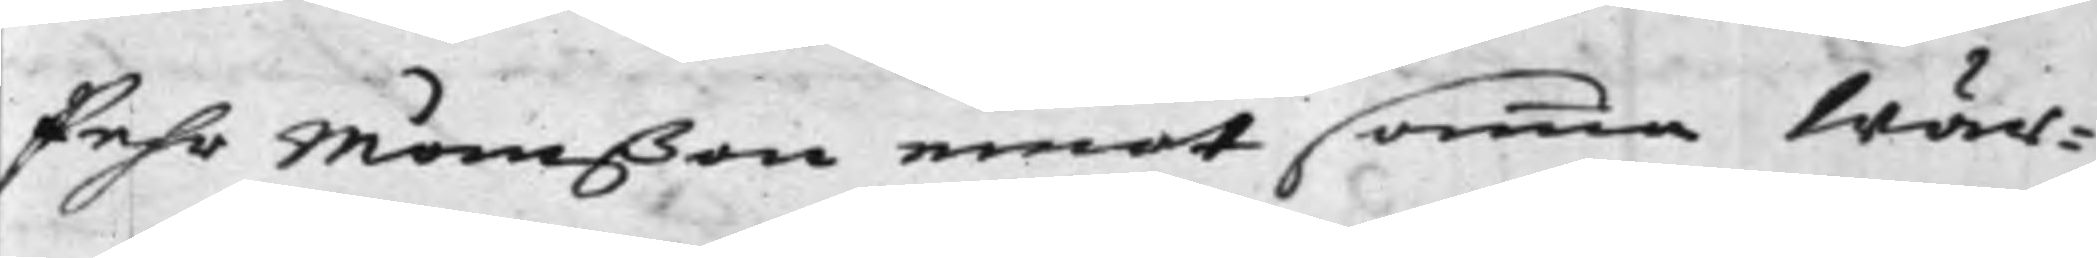Pehr Månßon emot samma Wär¬
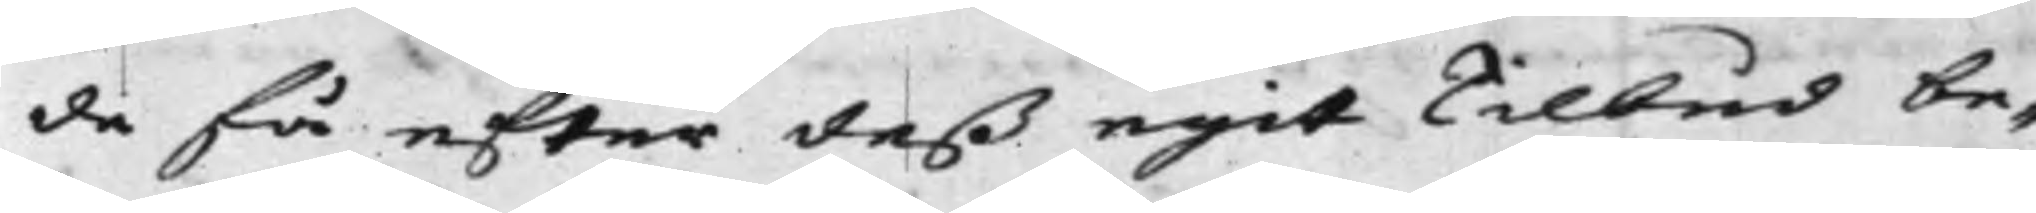de få efter deß egit Tilbud be¬
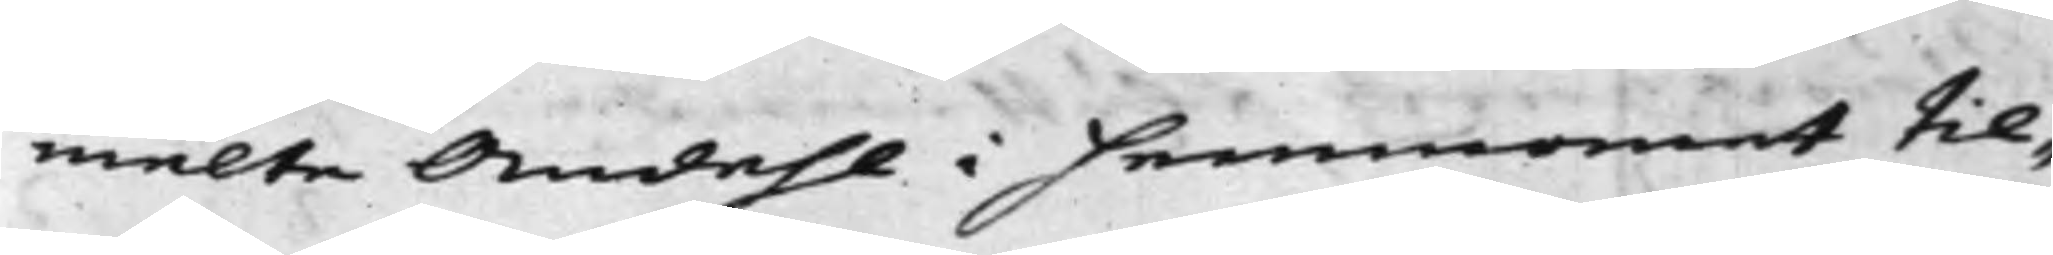melte Andehl i Hemmanet til¬
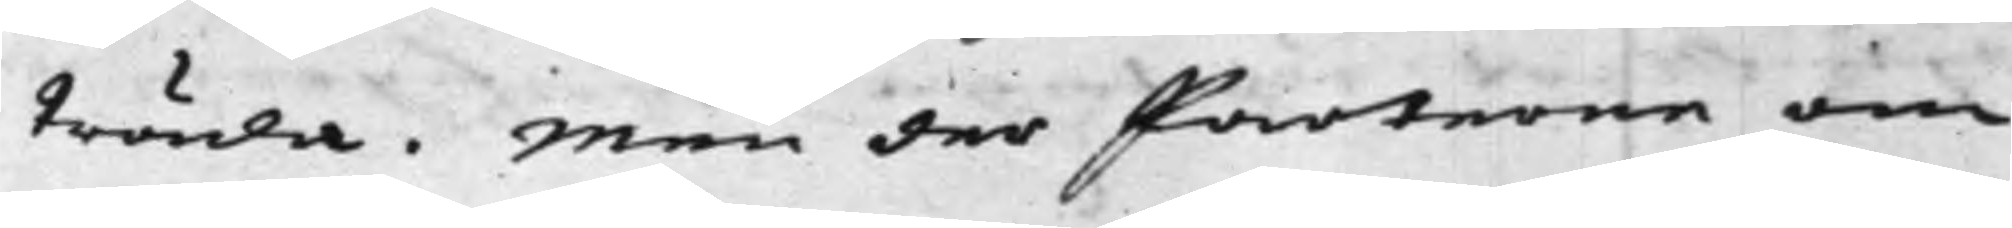träda. Men der Parterne om
